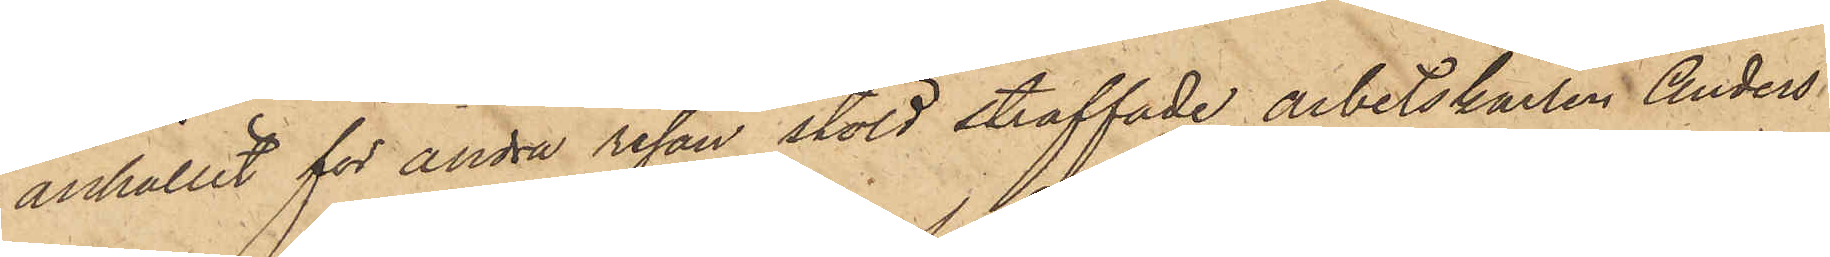anhållit för andra resan stöld straffade arbetskarlen Anders
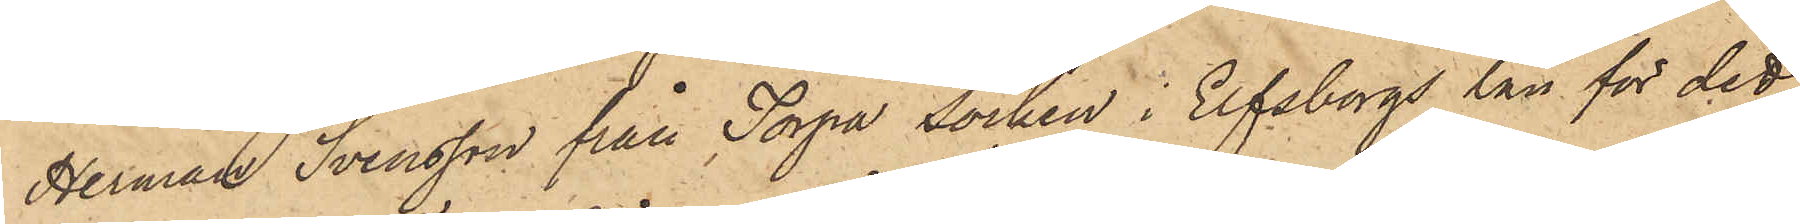Herman Svensson från Torpa socken i Elfsborgs län för det
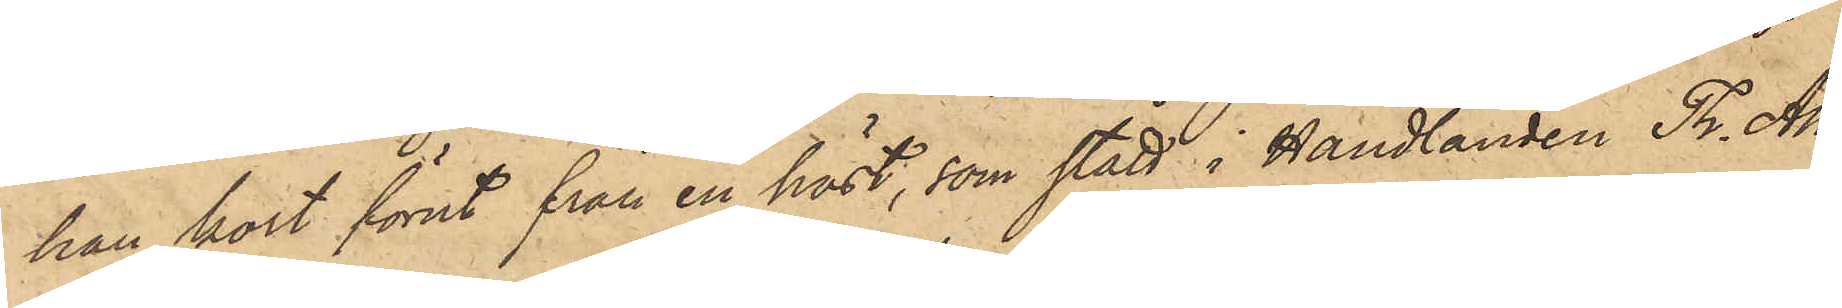han kort förut från en häst, som stått i Handlanden Th. Ah¬
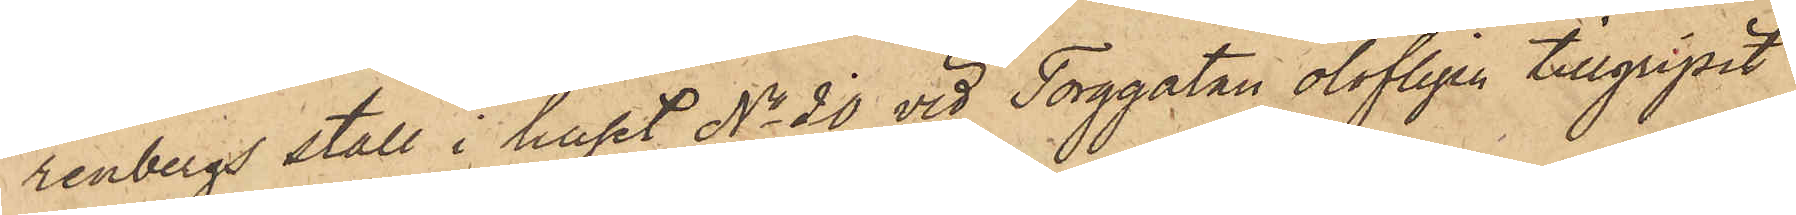renbergs stall i huset No 20 vid Torggatan olofligen tillgripit
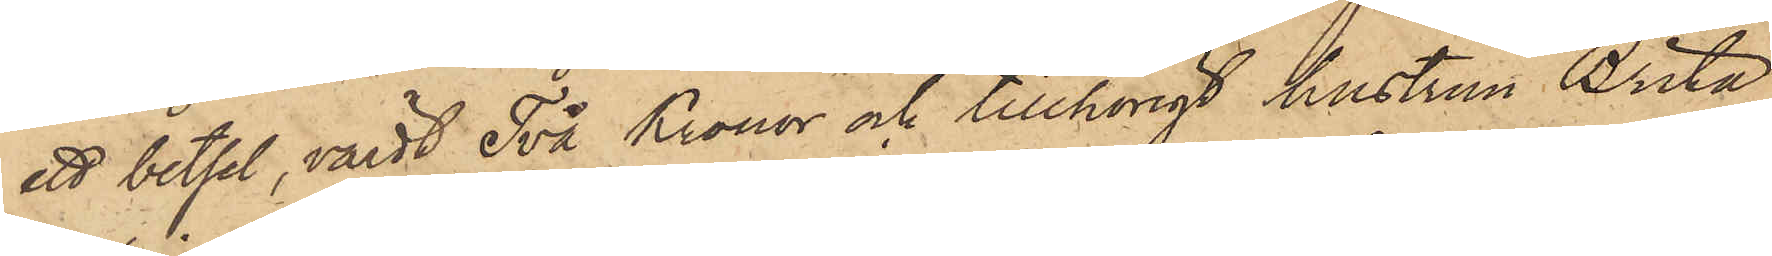ett betsel, värdt Två Kronor och tillhörigt hustrun Brita
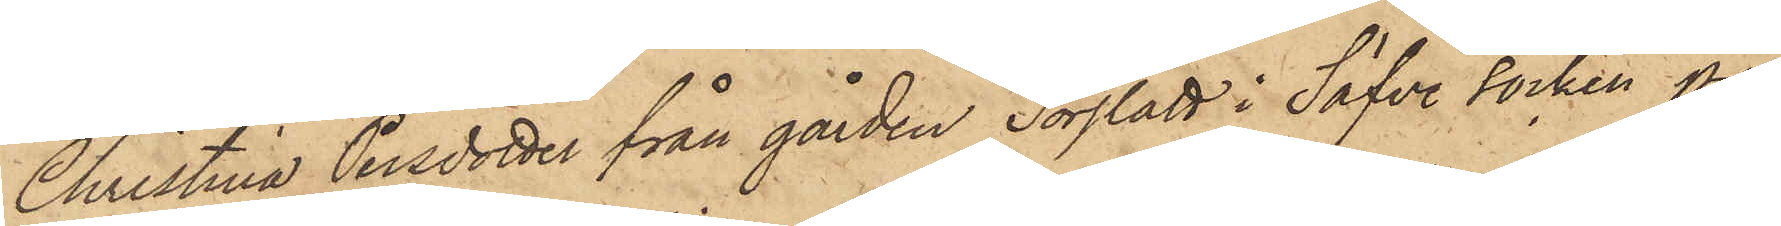Christina Persdotter från gården Sörslätt i Säfve socken på
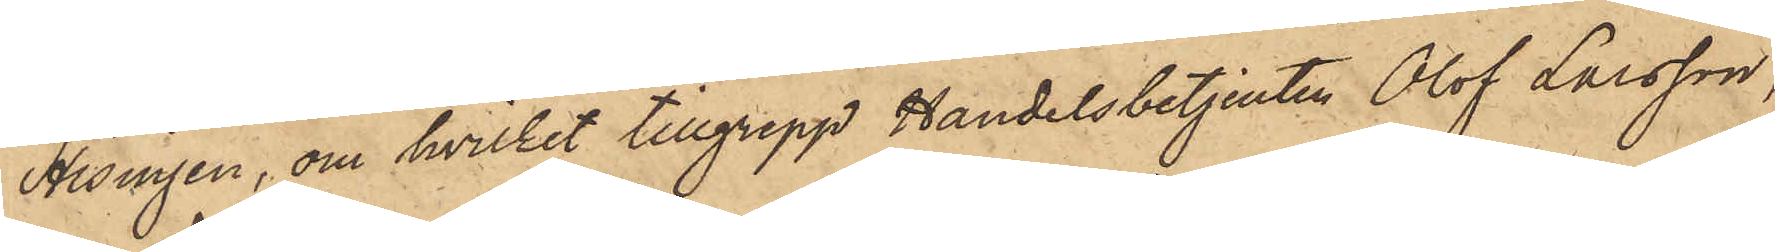Hisingen, om hvilket tillgrepp Handelsbetjenten Olof Larsson,
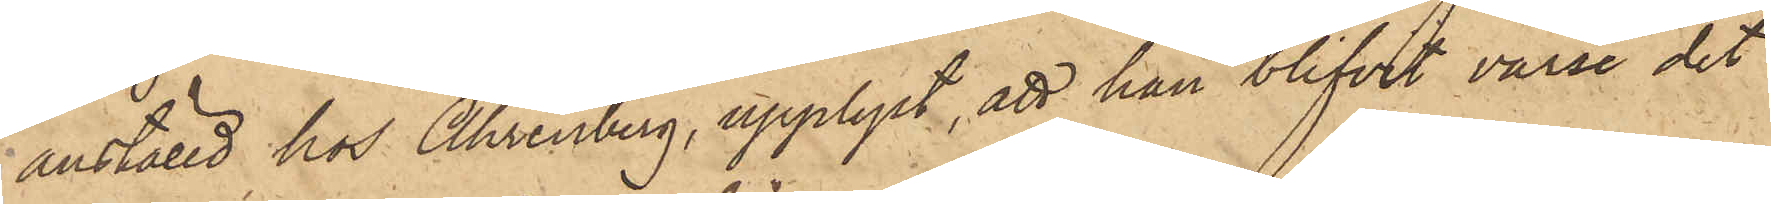anställd hos Ahrenberg, upplyst, att han blifvit varse det
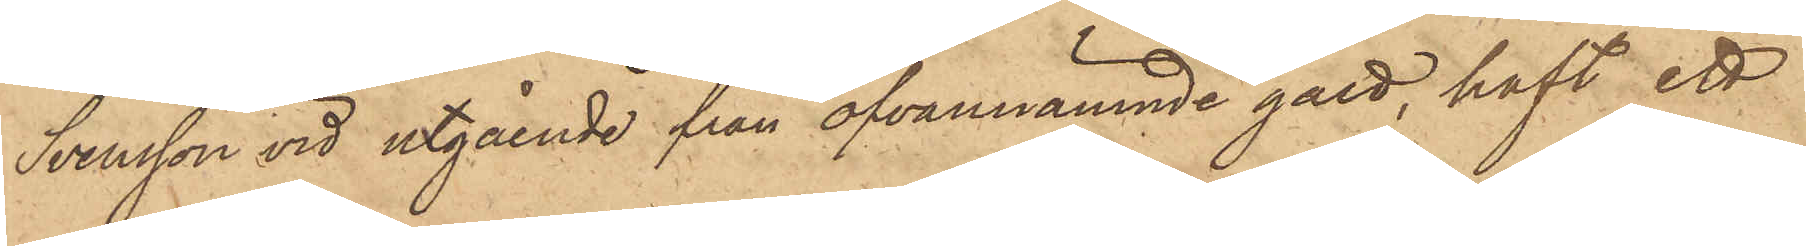Svensson vid utgående från ofvannämnde gård, haft ett
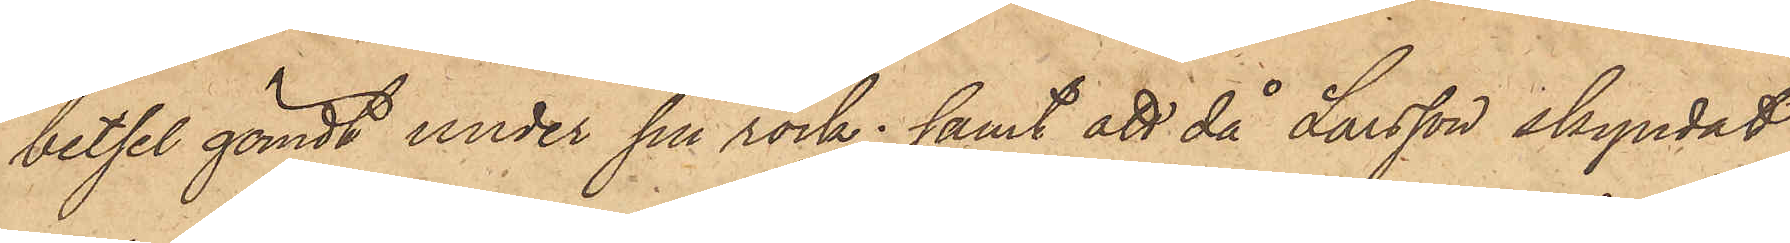betsel gömdt under sin rock; samt att då Larsson skyndat
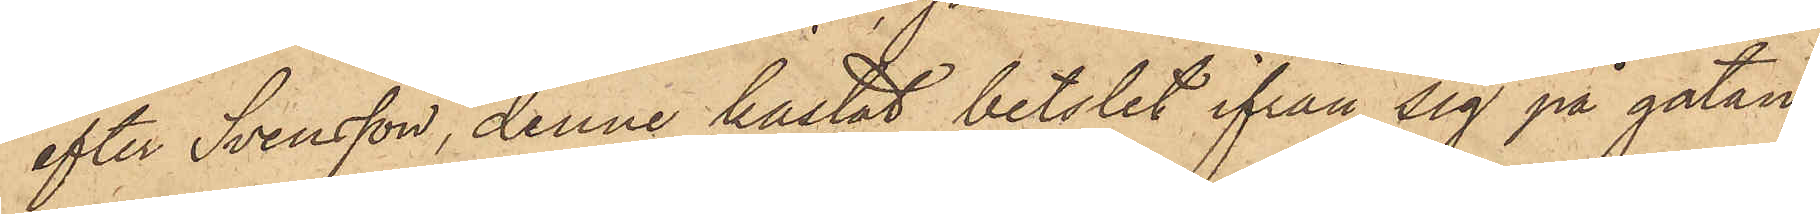efter Svensson, denne kastat betslet ifrån sig på gatan,
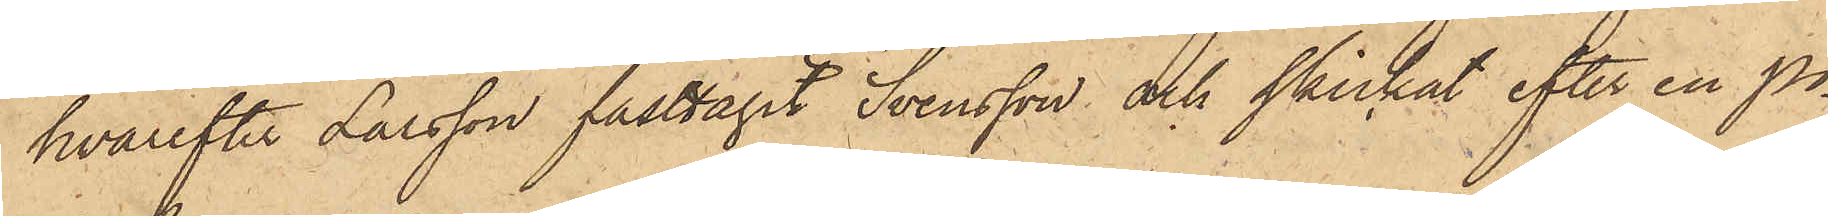hvarefter Larsson fasttagit Svensson och skickat efter en po¬
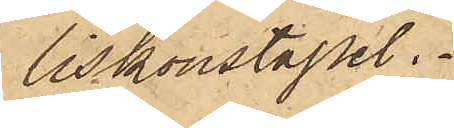liskonstapel.
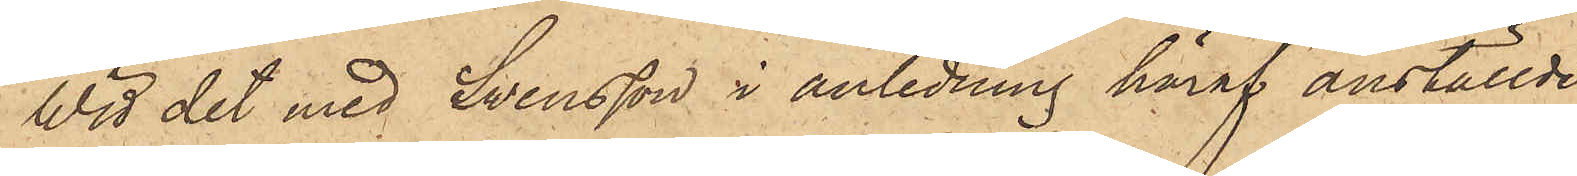Wid det med Svensson i anledning häraf anställde
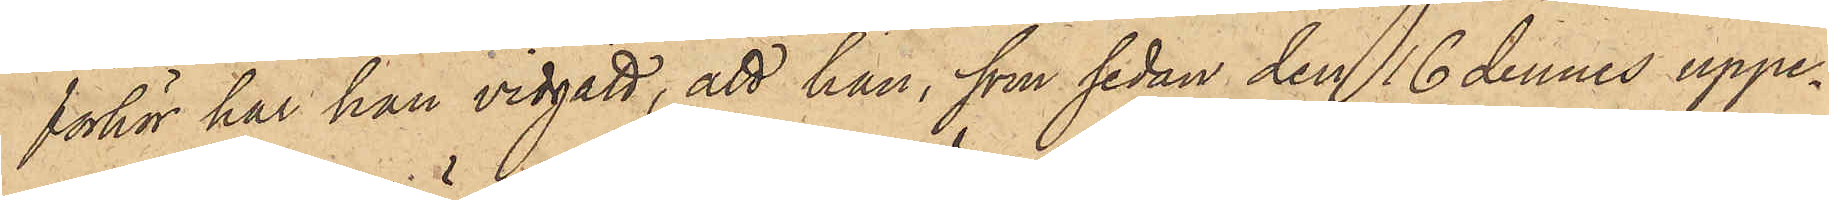förhör har han vidgått, att han, som sedan den 16 dennes uppe¬
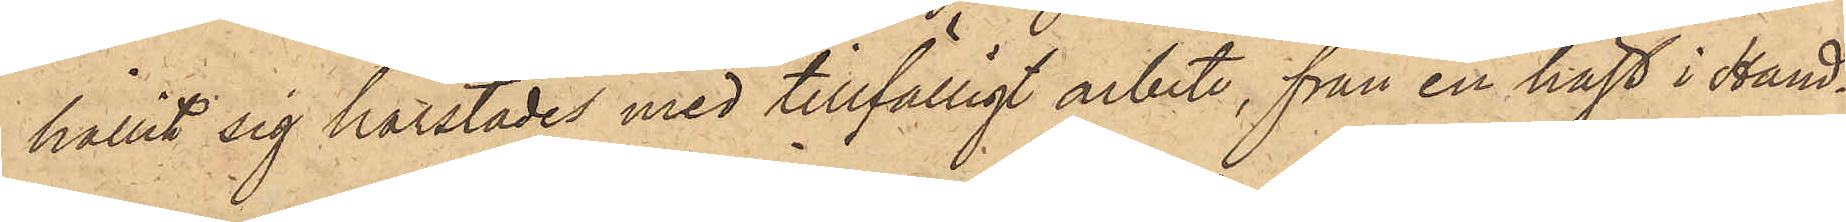hållit sig härstädes med tillfälligt arbete, från en häst i Hand¬
